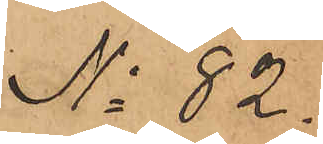No 82.
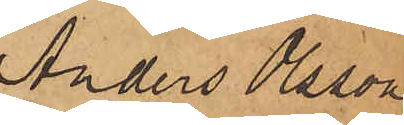Anders Olsson
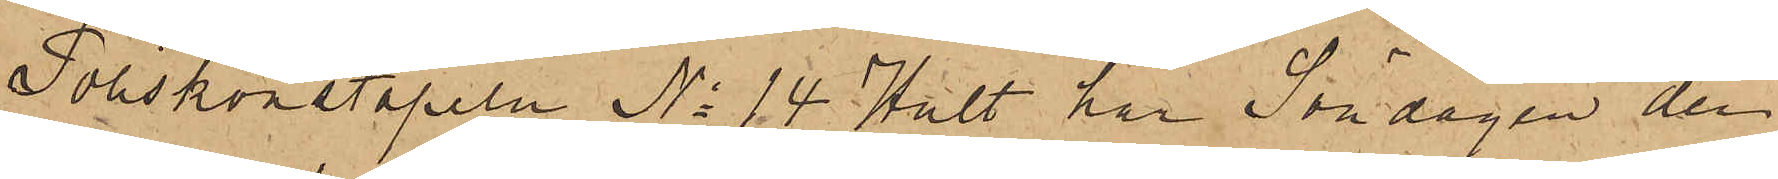Poliskonstapeln No 14 Hult har Söndagen den
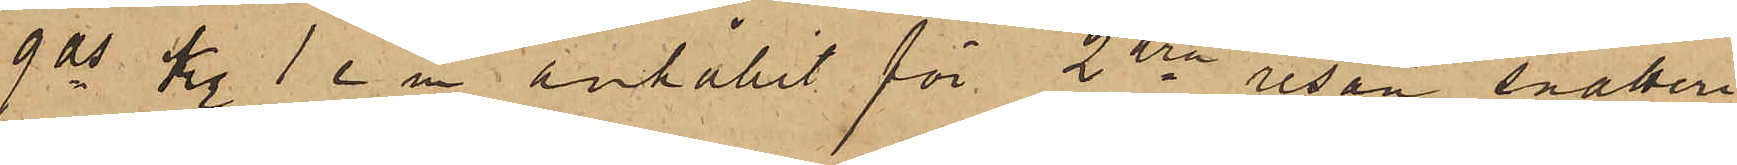9 ds kl 1 e m anhållit för 2dra resan snatteri
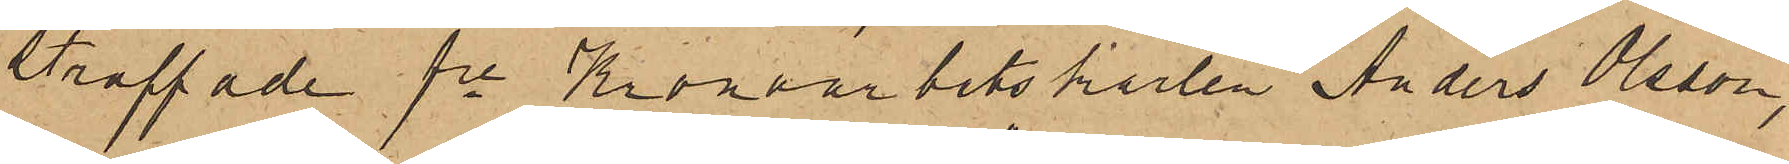straffade fre Kronoarbetskarlen Anders Olsson,
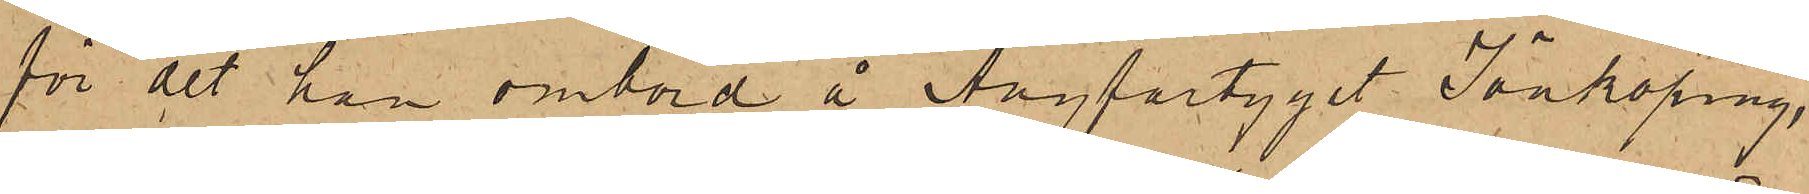för det han ombord å Ångfartyget Jönköping,
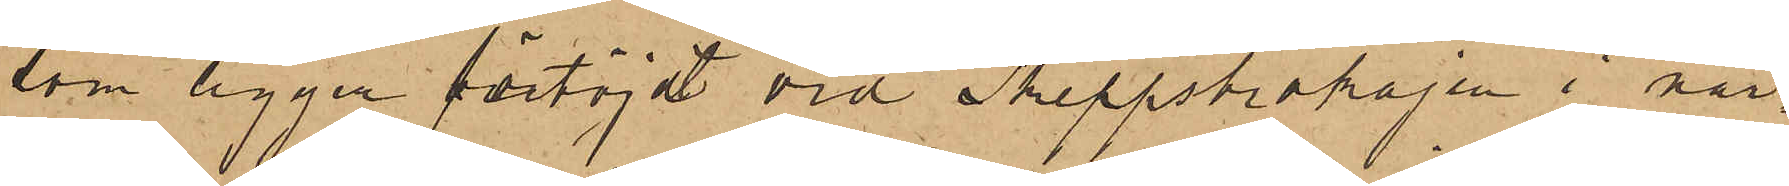som ligger förtöjdt vid Skeppsbrokajen i när¬
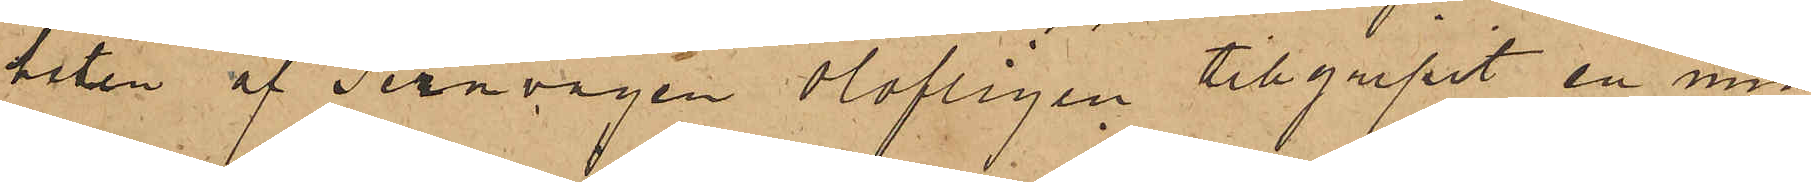heten af Jernvågen olofligen tillgripit en min¬
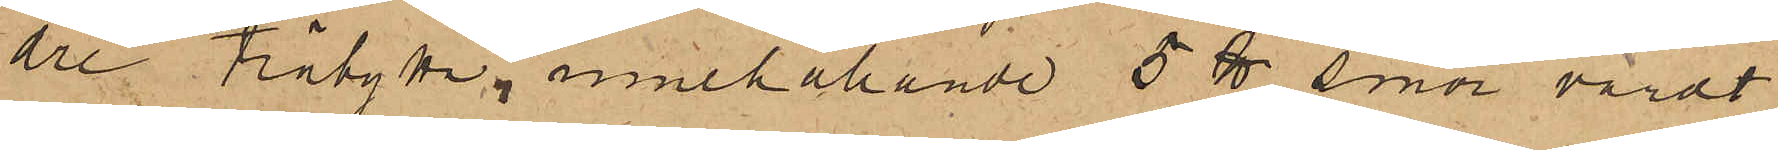dre träbytta, innehållande 5 ℔ smör, värdt
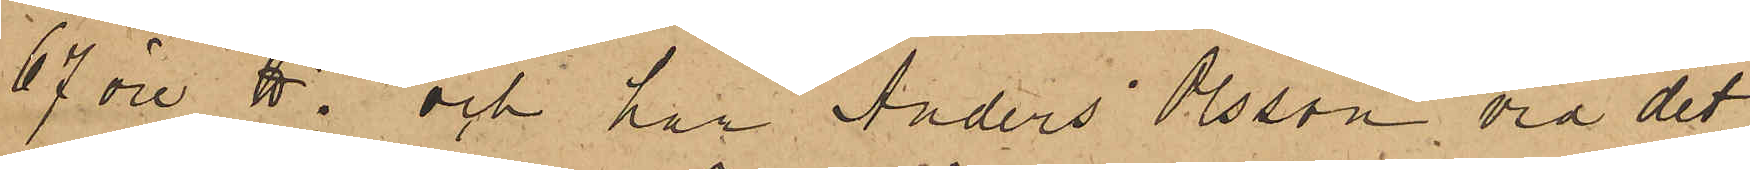67 öre ℔; och har Anders Olsson vid det
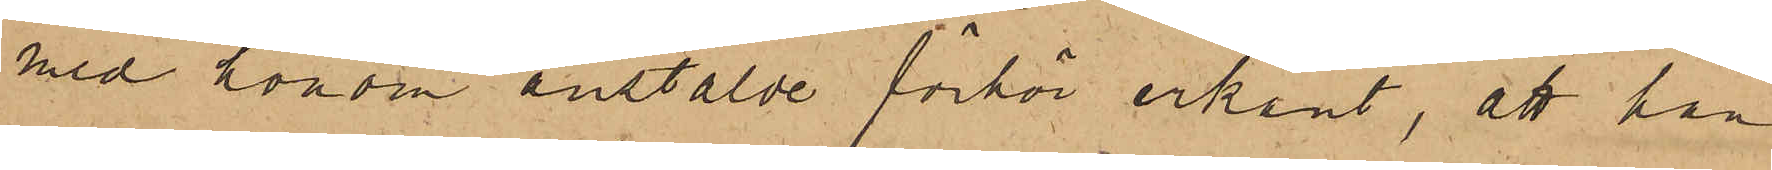med honom anstälde förhör erkänt, att han
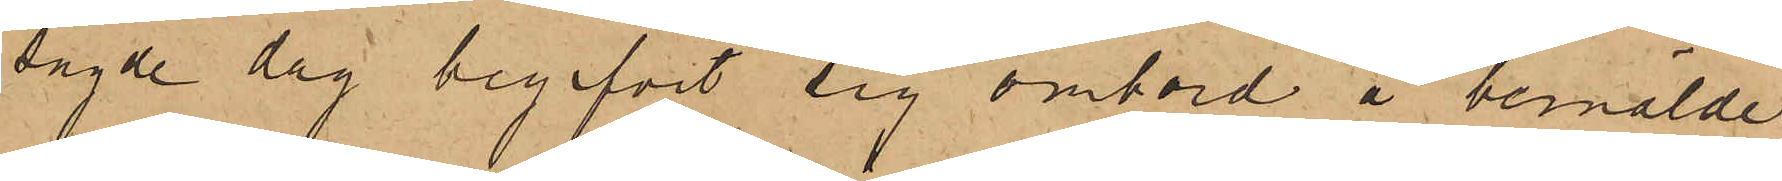sagde dag begifvit sig ombord å bemälde
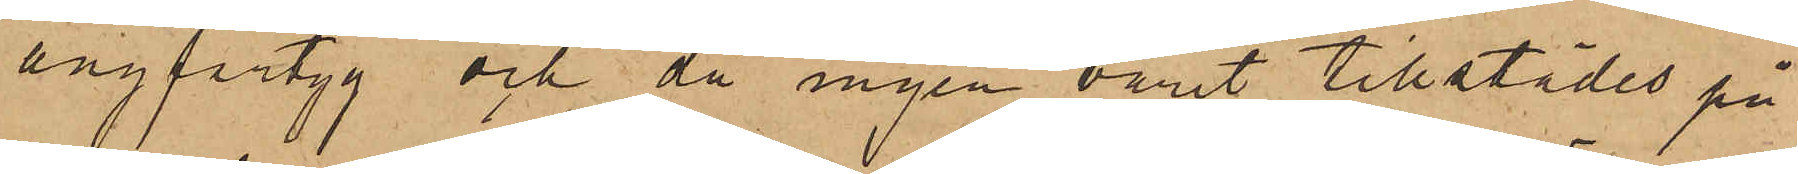ångfartyg och då ingen varit tillstädes på
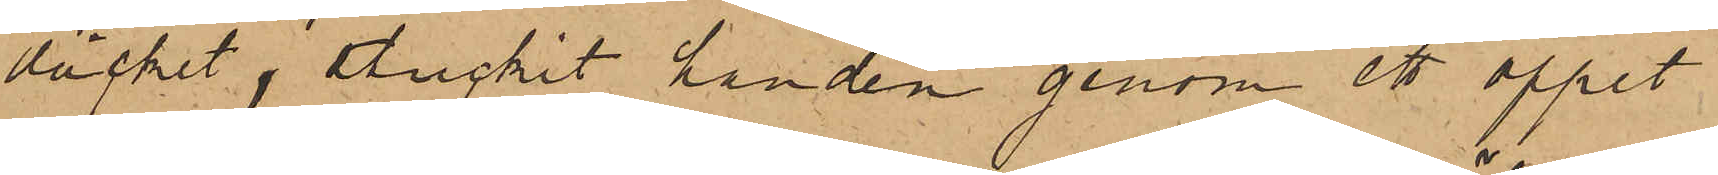däcket, stuckit handen genom ett öppet
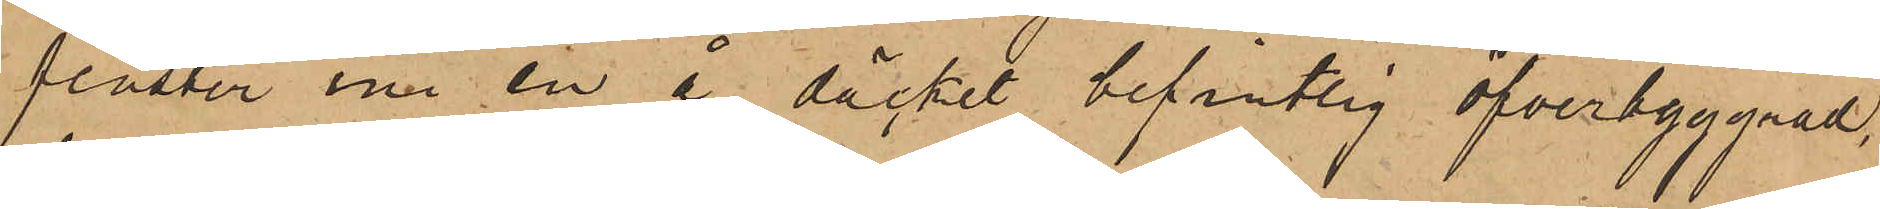fenster ini en å däcket befintlig öfverbyggnad,
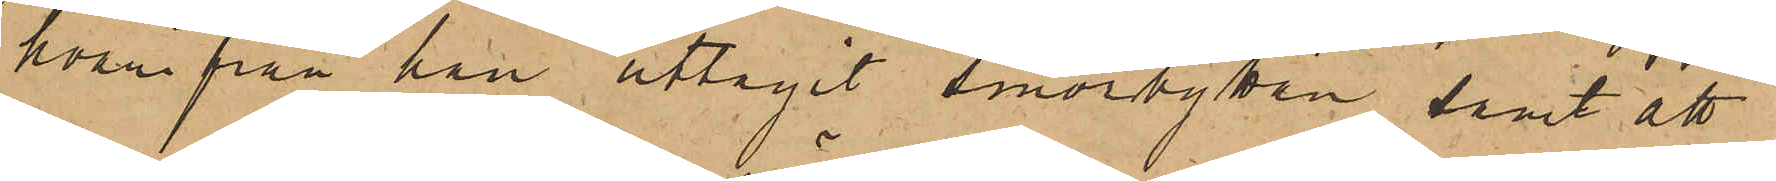hvari från han uttagit smörbyttan, samt att
